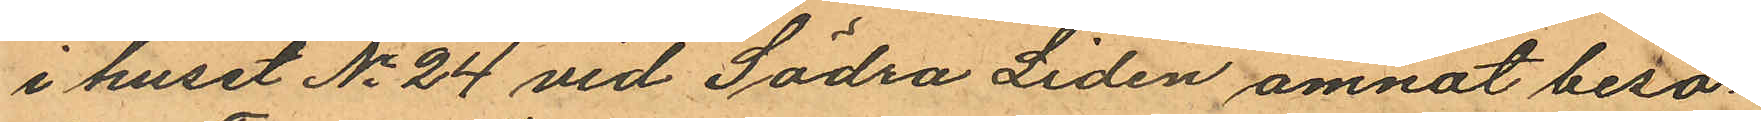i huset No 24 vid Södra Liden ämnat besö¬
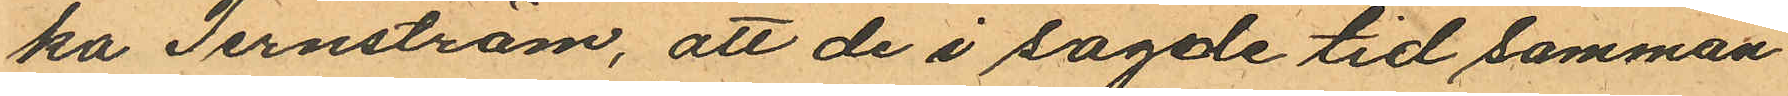ka Ternström, att de i sagde tid samman
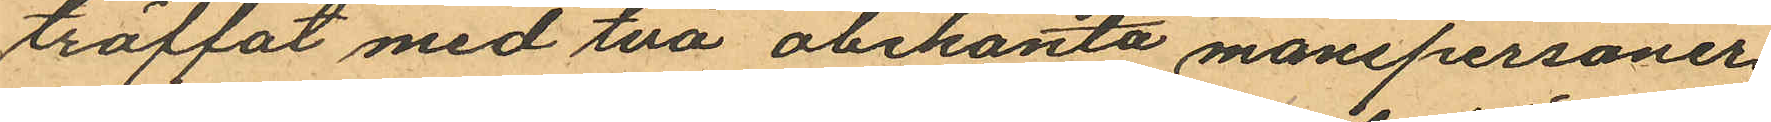träffat med två obekanta manspersoner
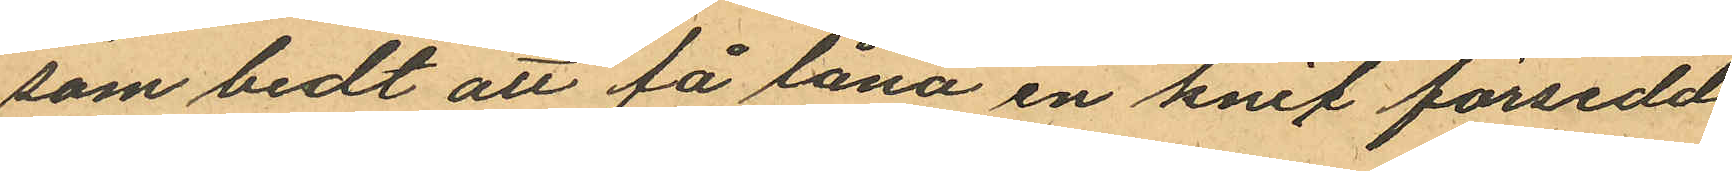som bedt att få låna en knif försedd
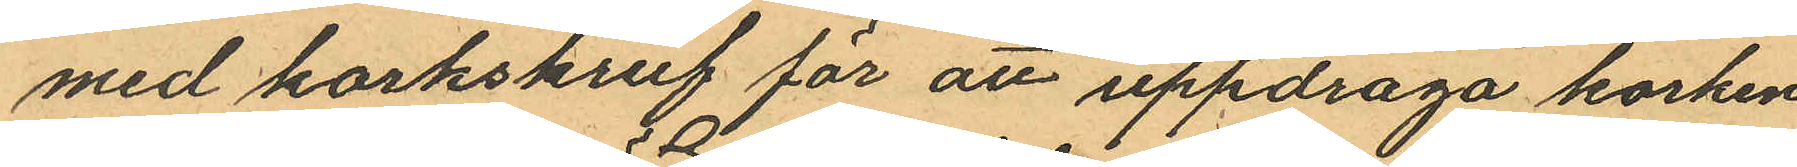med korkskruf för att uppdraga korken
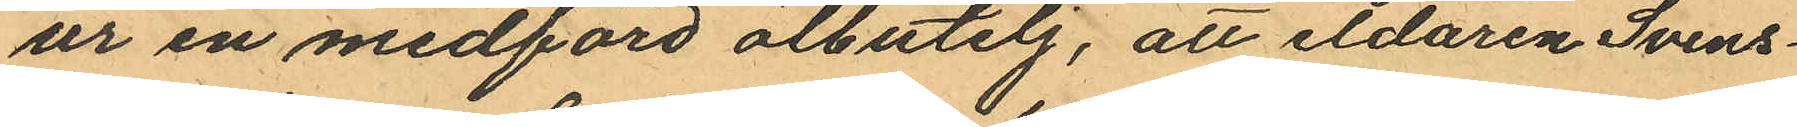ur en medförd ölbutelj, att eldaren Svens¬
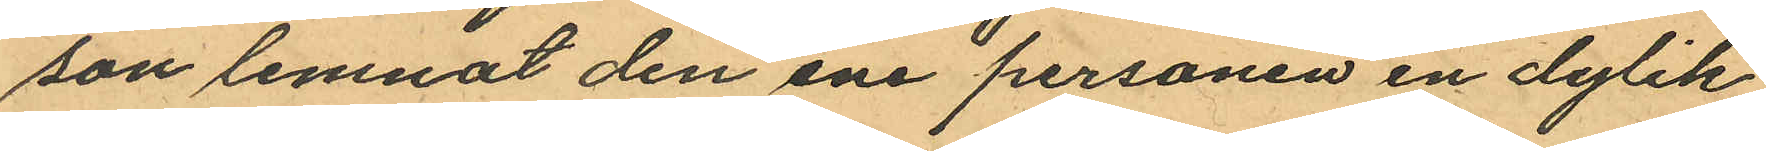son lemnat den ene personen en dylik
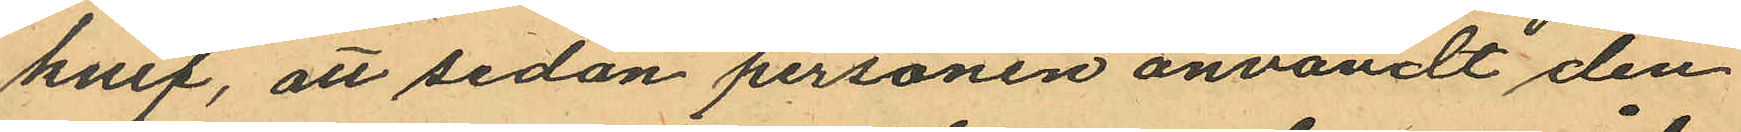knif, att sedan personen användt den
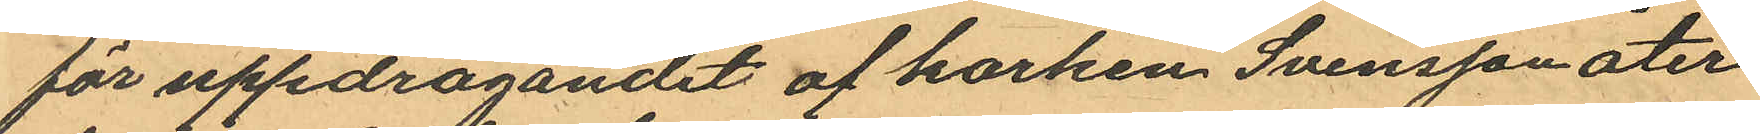för uppdragandet af korken Svensson åter¬
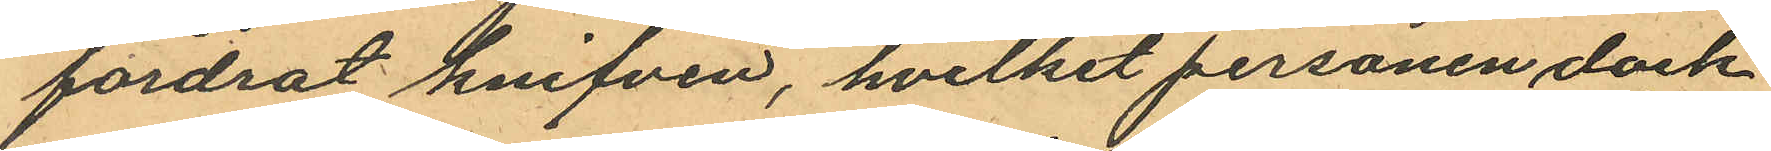fordrat knifven, hvilket personen dock
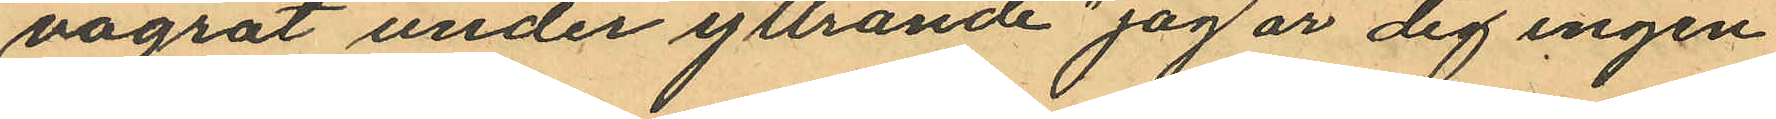vägrat under yttrande "jag är dig ingen
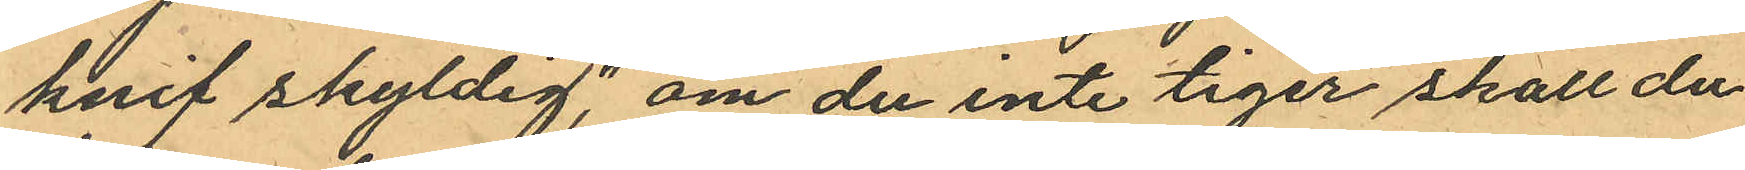knif skyldig", om du inte tiger skall du
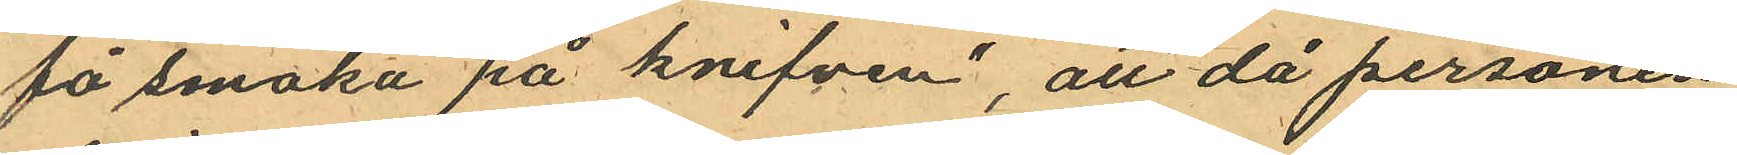få smaka på knifven", att då personen
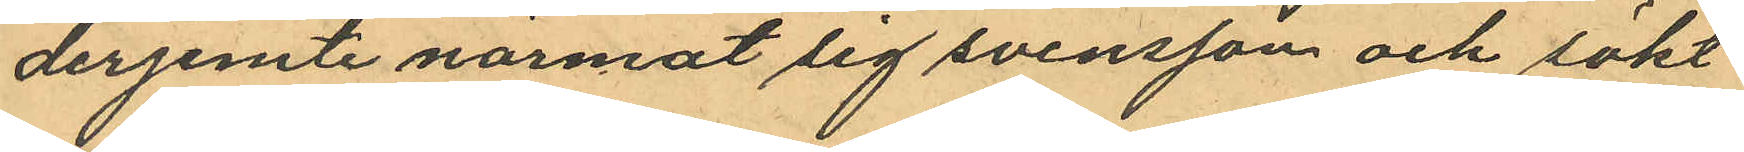derjemte närmat sig Svensson och sökt
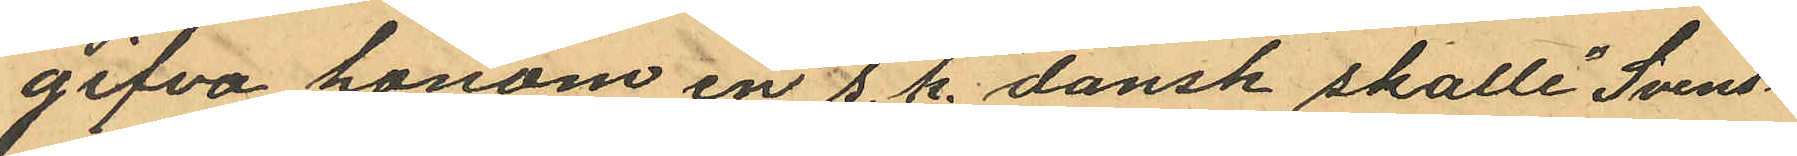gifva honom en s. k. "dansk skalle" Svens¬
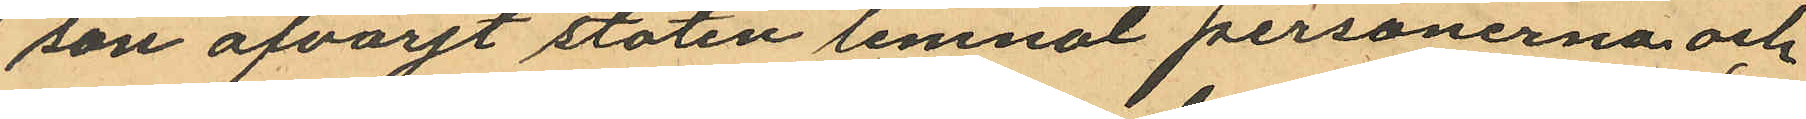son afvärjt stöten lemnat personerna och
